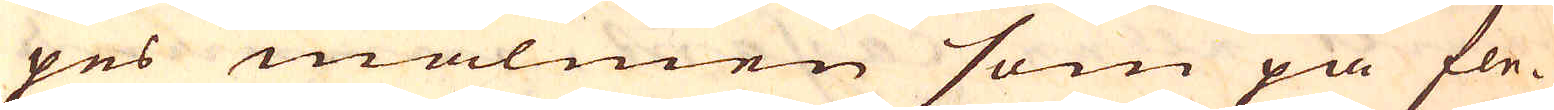pes malmen som på fle-
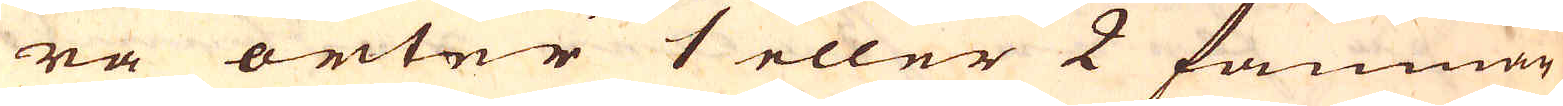ra orter 1 eller 2 famnar
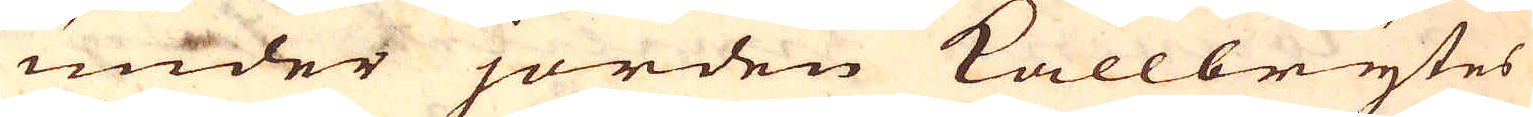under jorden kallbrytes
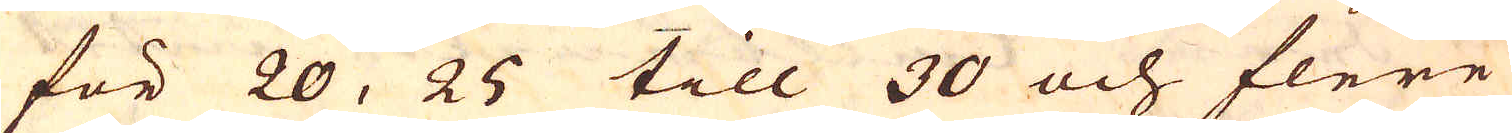för 20, 25 till 30 och flere
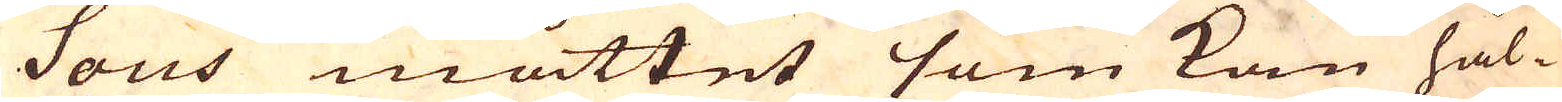Sous måttet som kan hål-
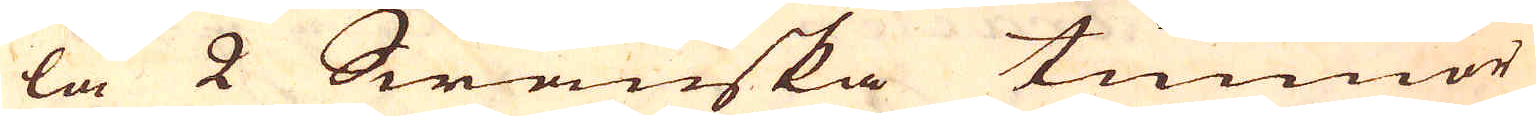la 2 Swänska tunnor
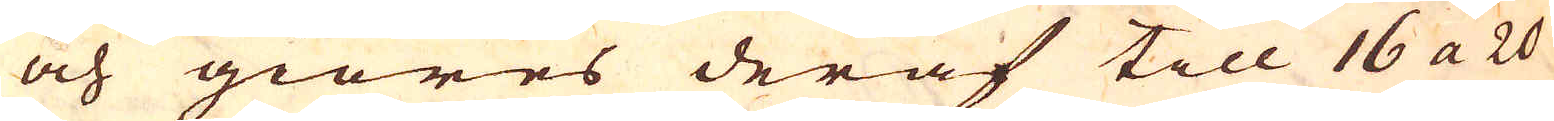och giöres deraf till 16 a 20
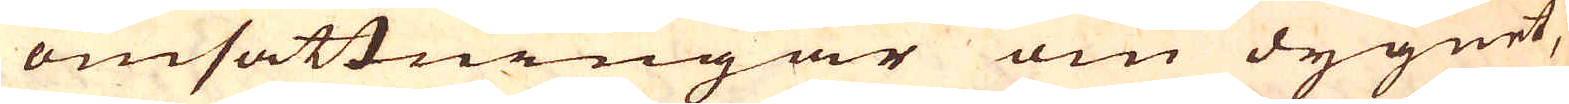omsättningar om dygnet,
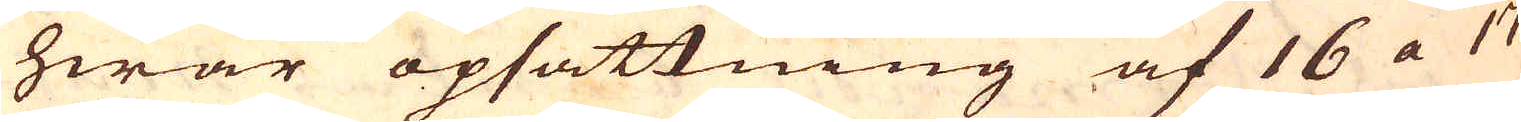hwar opsättning af 16 a 17
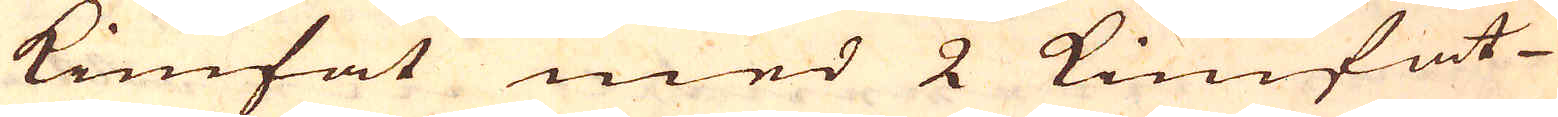kimfat med 2 kimfat-
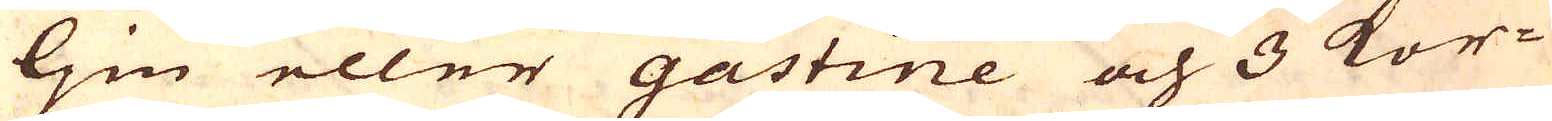ljm eller gastine och 3 kor-
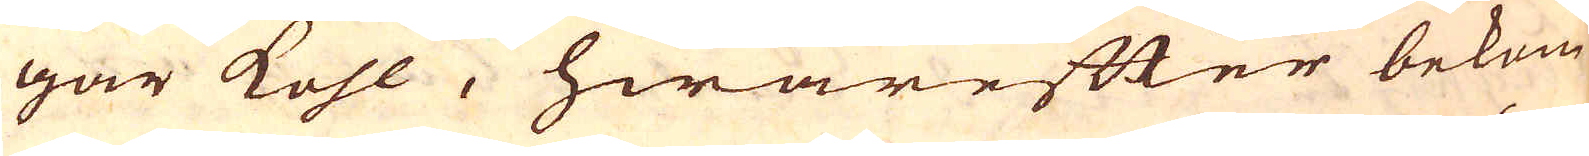gar kohl, hwarefter bekom-
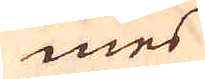mes
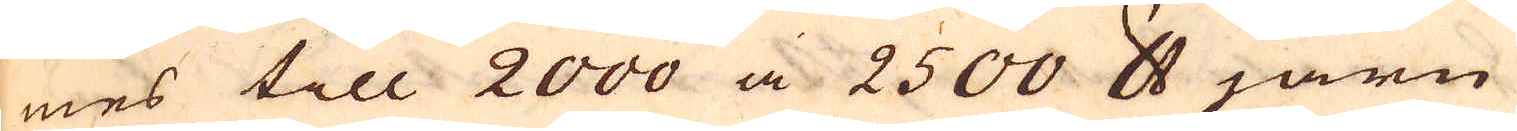mes till 2000 a 2500 skålpund järn
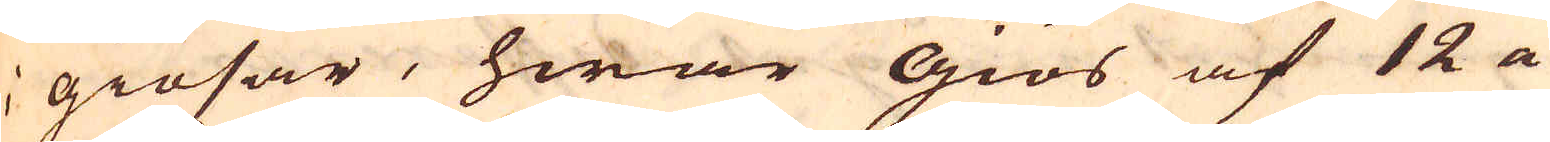i giösar, hwar giös af 12 a
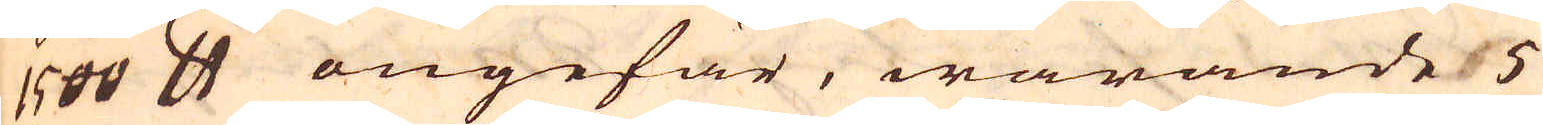1500 skålpund ongefär, warande 5
